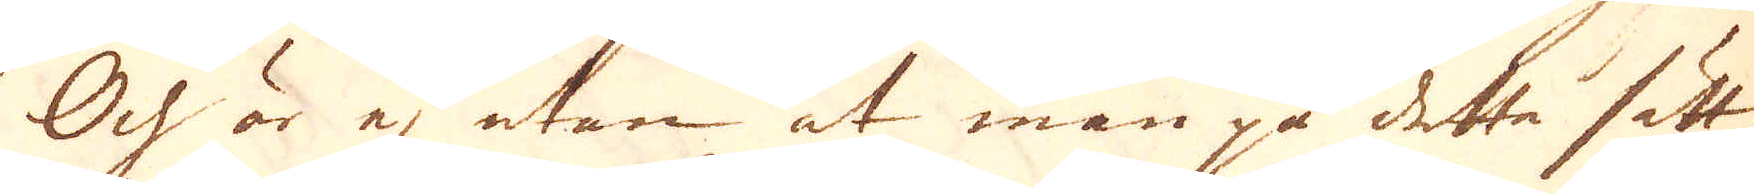Och är ej utan at man på detta sätt
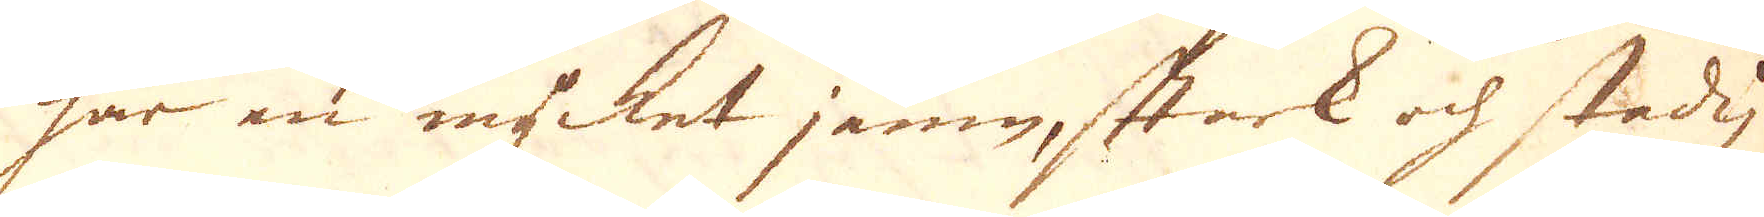har en mycket jämn, stark och skadig
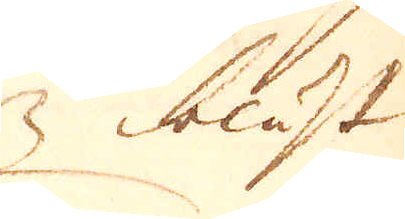blåst
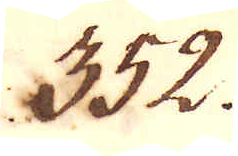352.
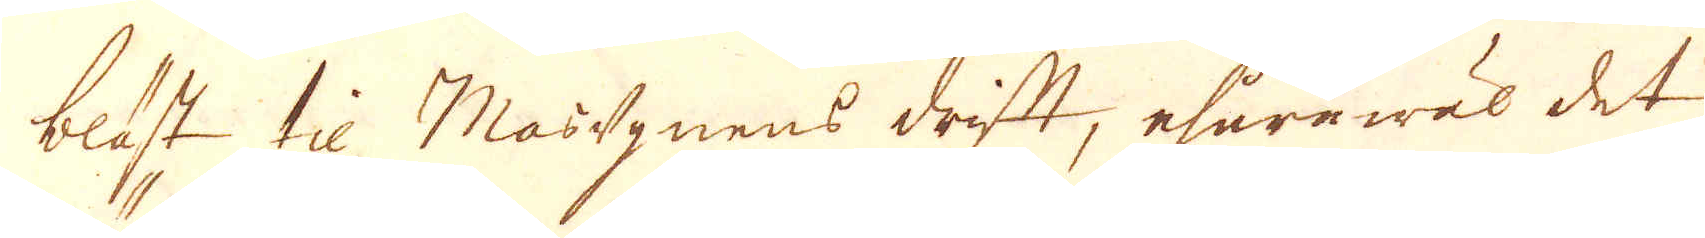blåst til Mas-ugnens drift, ehuruwäl det
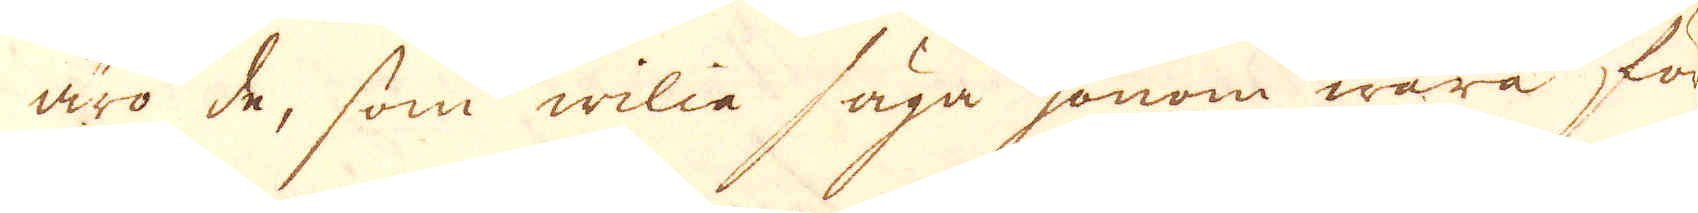äro de, som wilia säga honom wara för
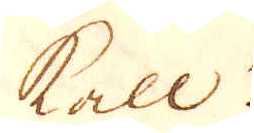kall.
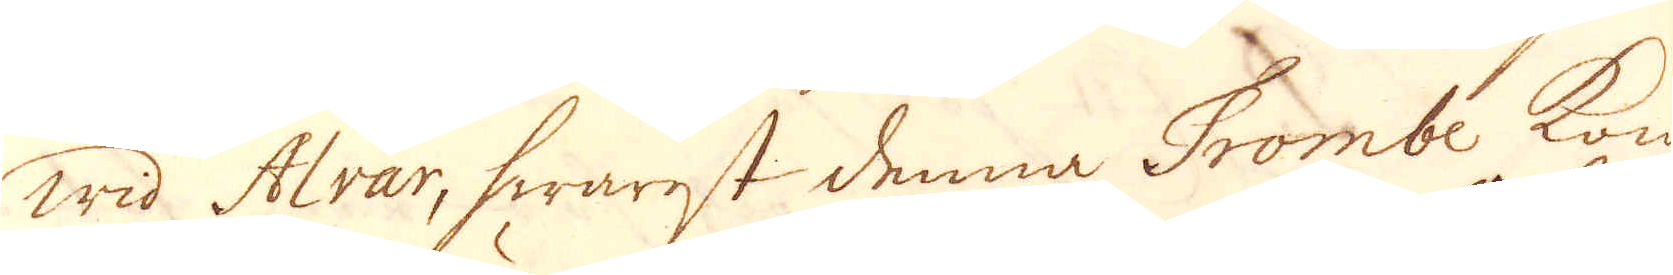Wid Alvar, hwarest denna Trombe kom
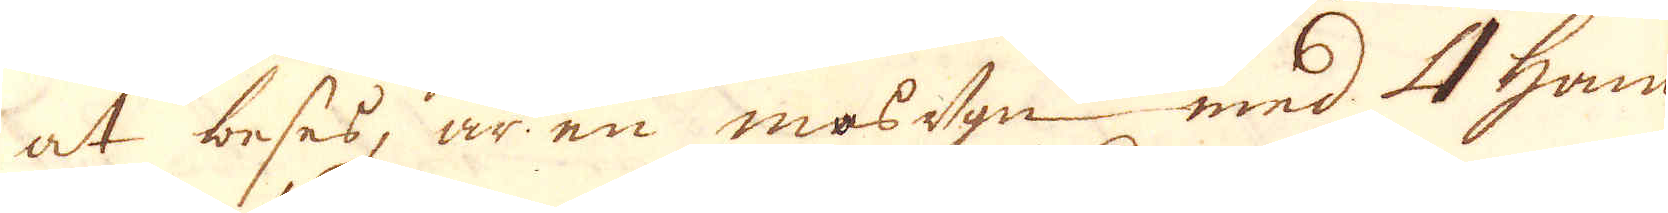at beses, är en masugn med 4 ham-
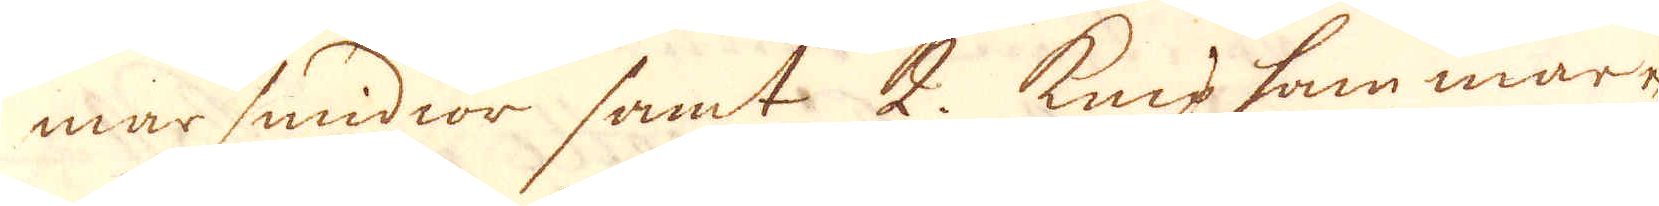marsmidior samt 2. kniphammare
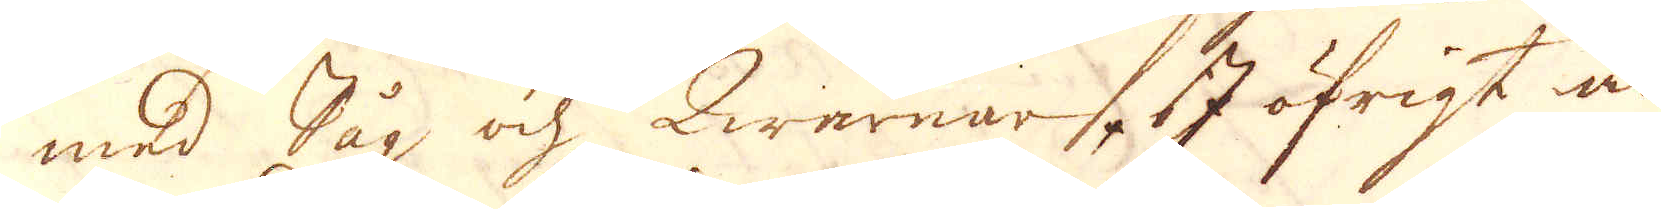med Såg och Qwarnar. I öfrigt är
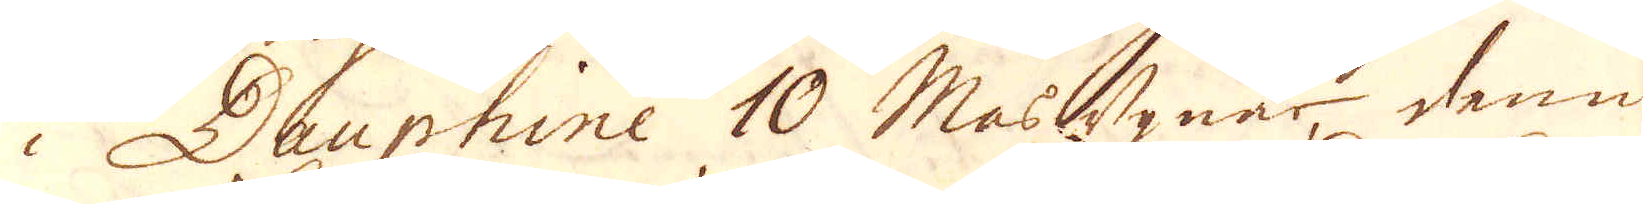i Dauphine 10 Masugnar denna
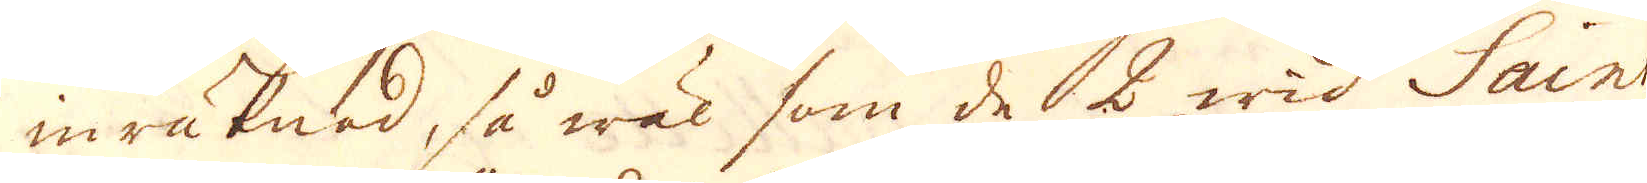inräknad, så wäl som de 2 wid Saint
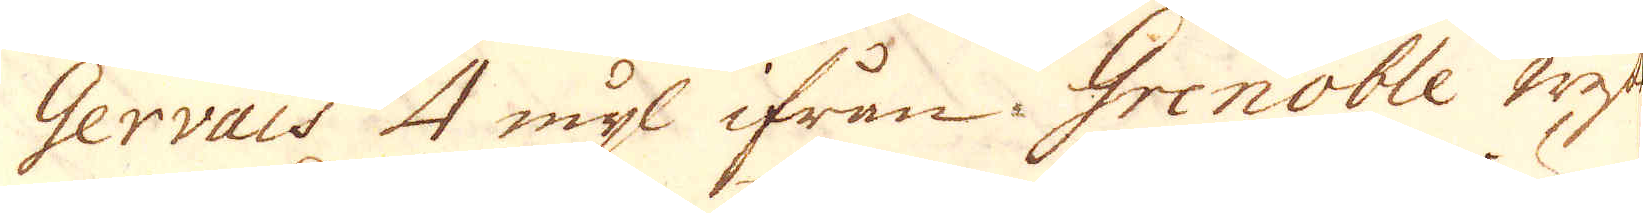Gervais 4 mijl ifrån Grenoble wester
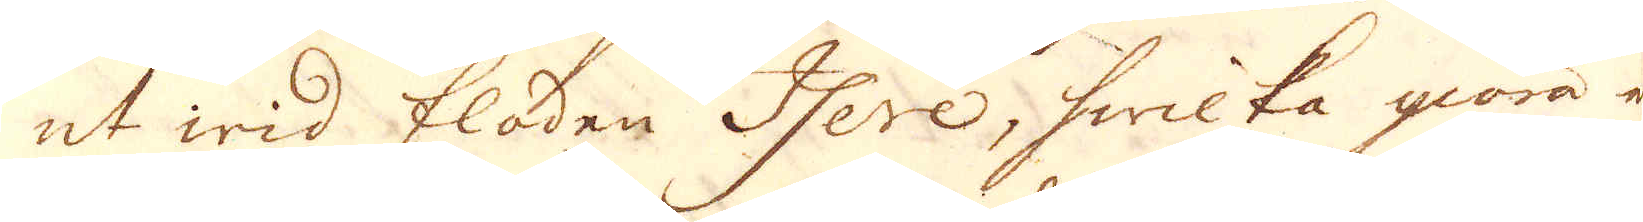ut wid floden Here, hwilka giöra ett
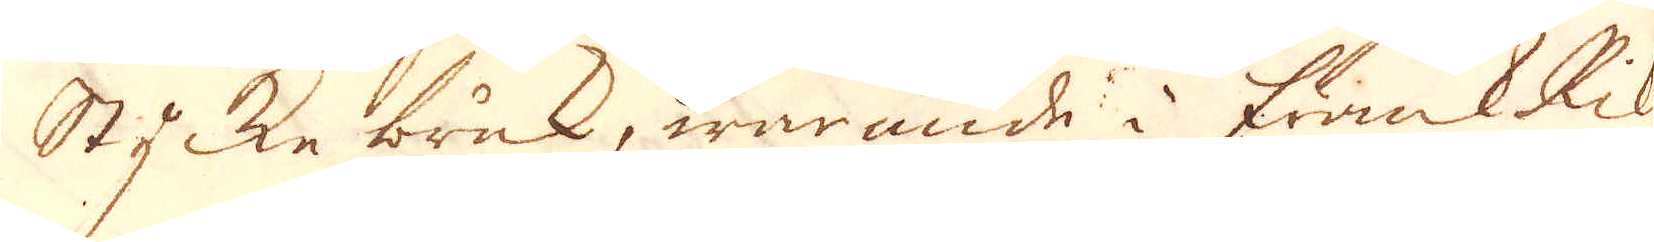stycke bruk, warande i FrankRike
